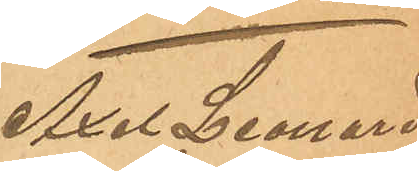Axel Leonard
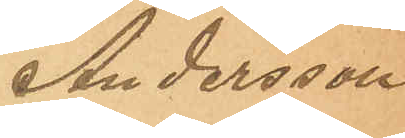Andersson.
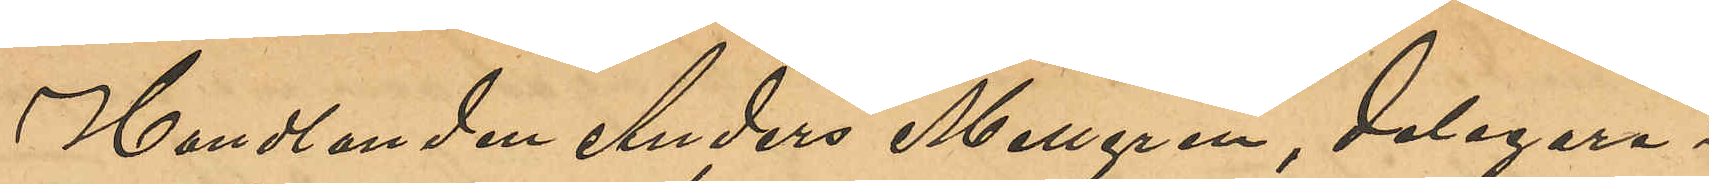Handlanden Anders Mellgren, delegare i
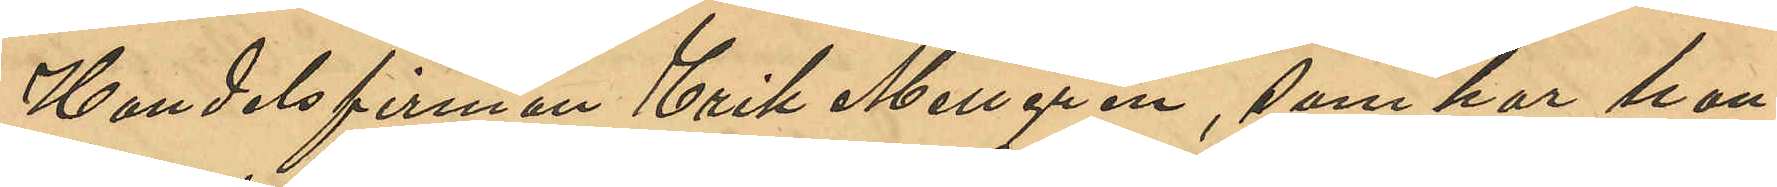Handelsfirman Erik Mellgren, som har han¬
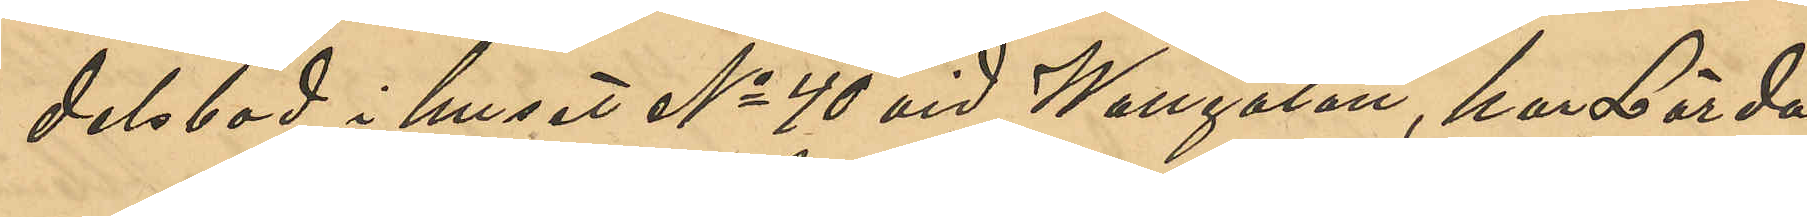delsbod i huset No 40 vid Wallgatan, har Lörda¬
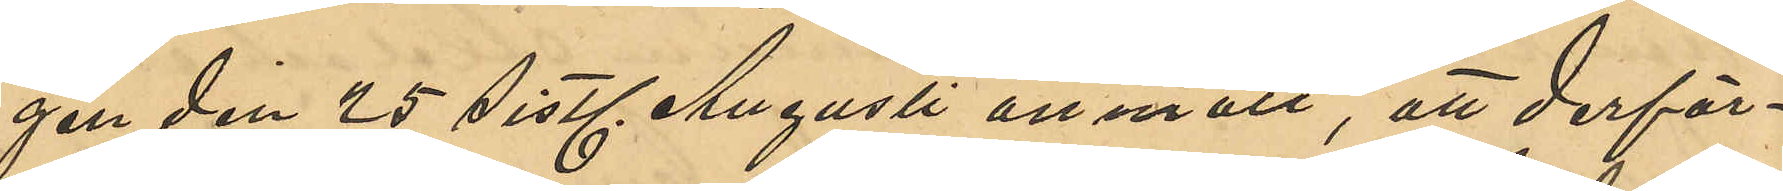gen den 25 sistl. Augusti anmält, att derför¬
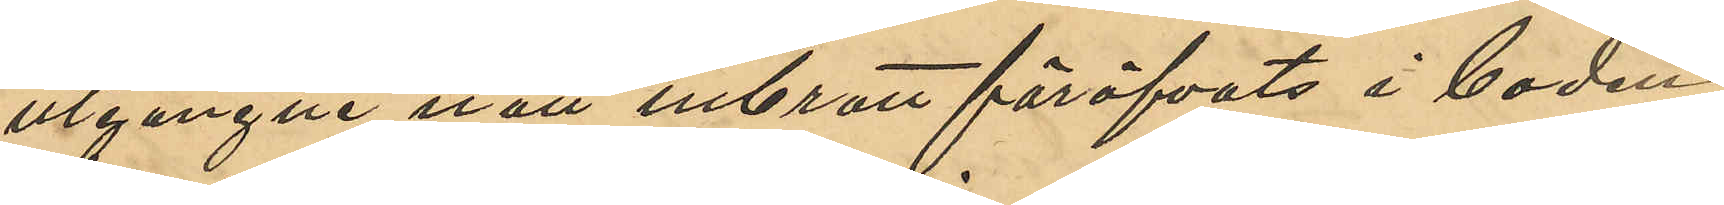utgångne natt inbrott föröfvats i boden;
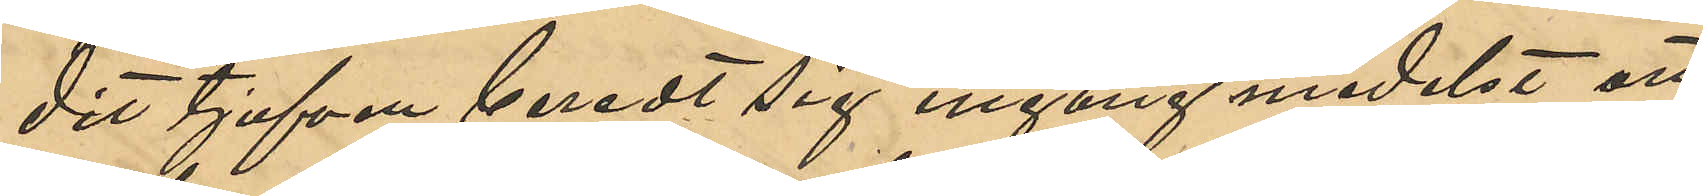dit tjufven beredt sig ingång medelst att
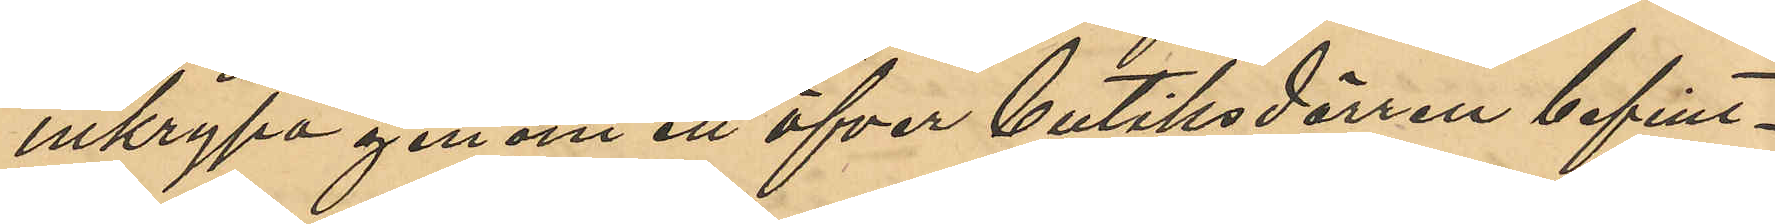inkrypa genom ett öfver butiksdörren befint¬
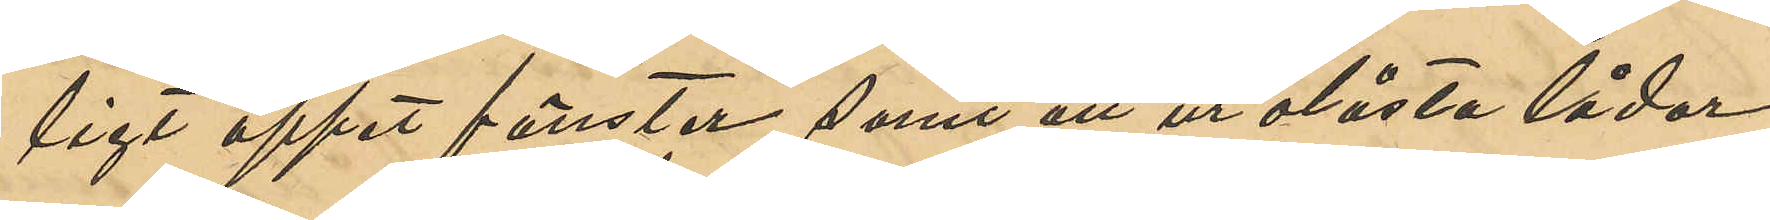ligt öppet fönster, samt att ur olåsta lådor
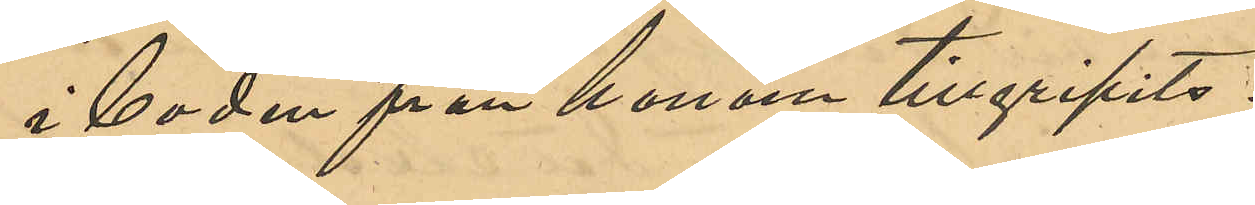i boden från honom tillgripits:
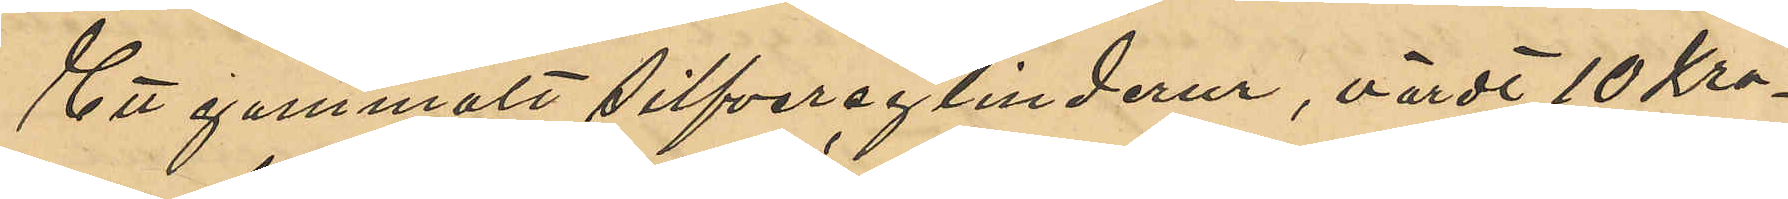Ett gammalt silfvercylinderur, värdt 10 Kro¬
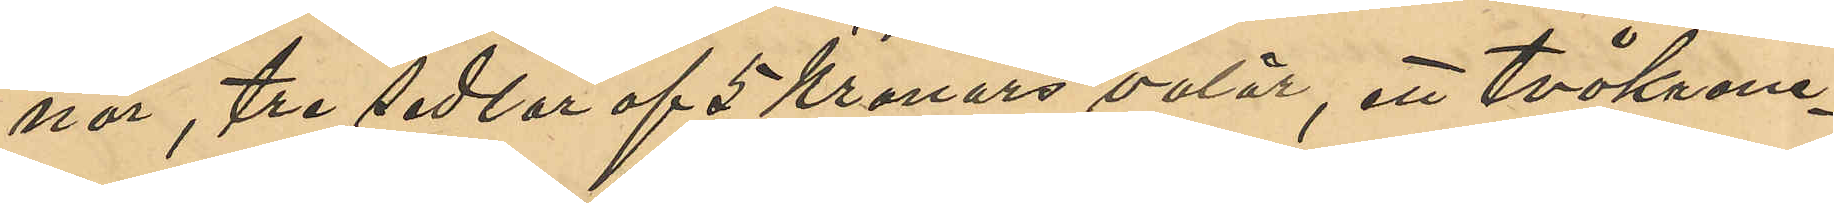nor, tre sedlar af 5 Kronors valör, ett tvåkrone¬
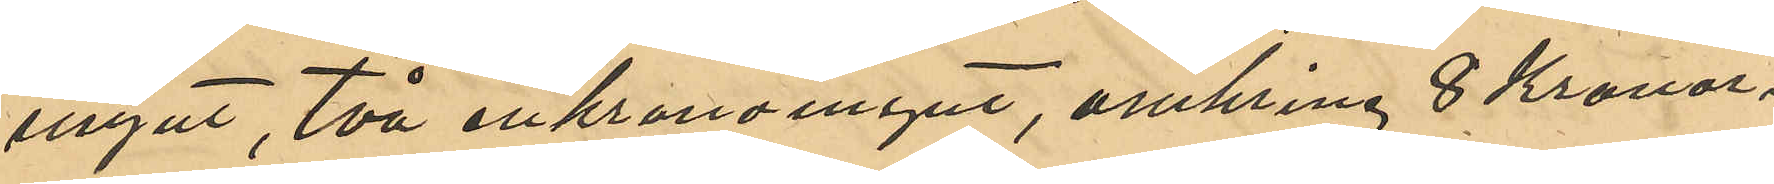mynt, två enkronomynt, omkring 8 Kronor i
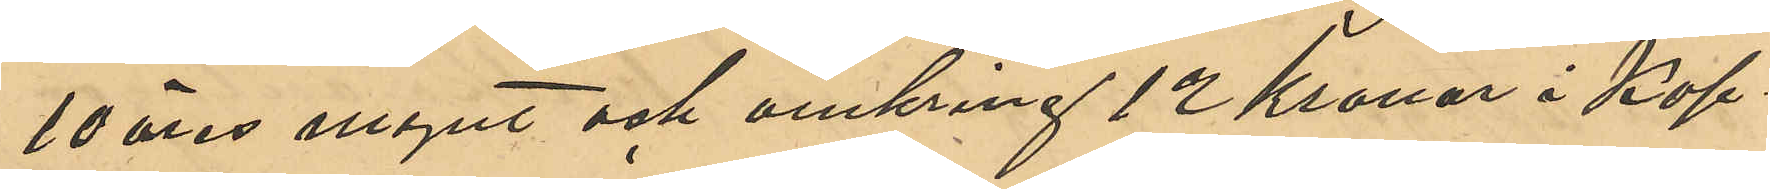10 öres mynt och omkring 12 Kronor i Kop¬
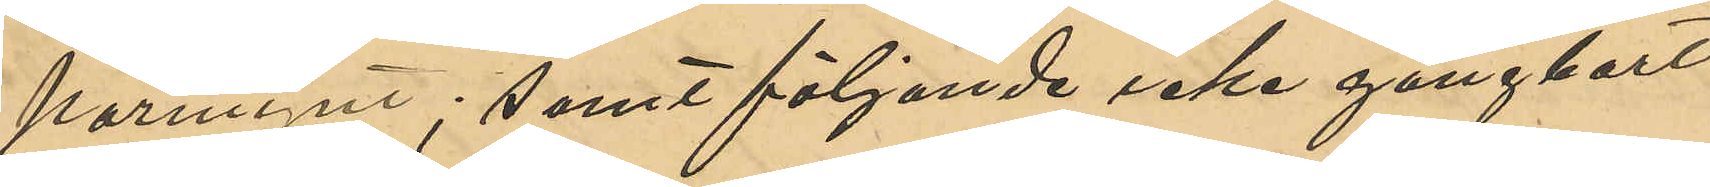parmynt; samt följande icke gångbart
